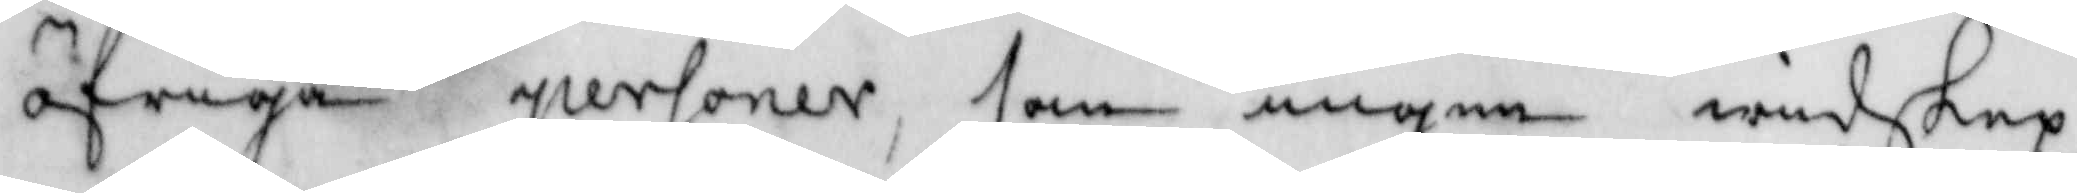öfrige personer, som ingen wedskep¬
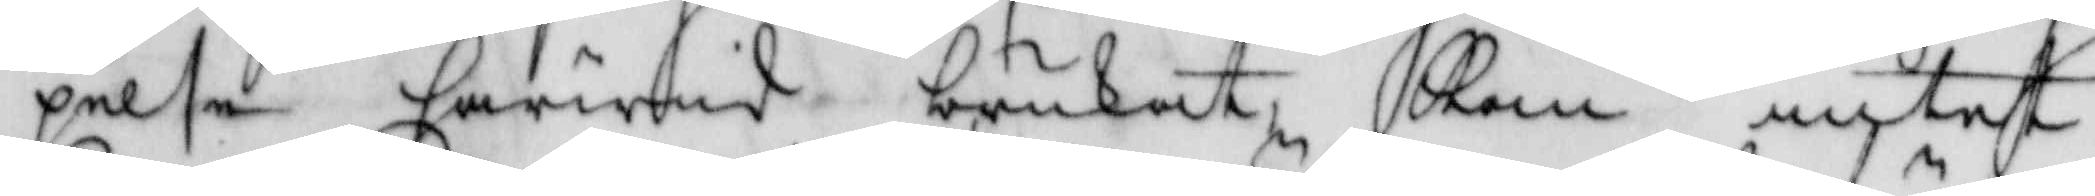pelse härwid brukat, Kan intet
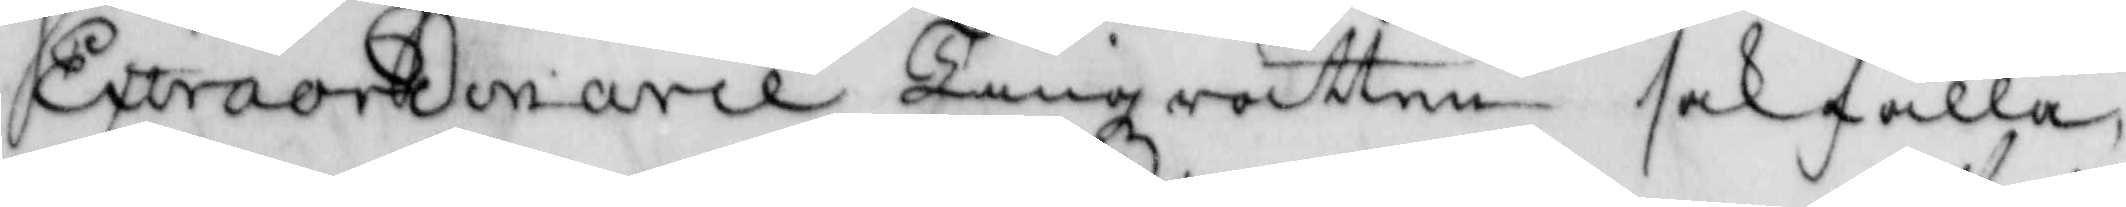Extraordinarie Tingzrätten sakfälla
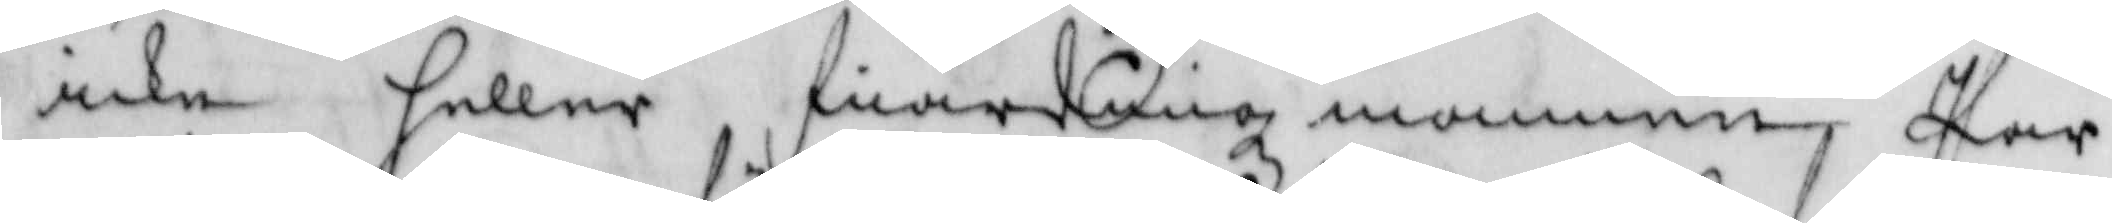icke heller fiärdingzmannen Pär
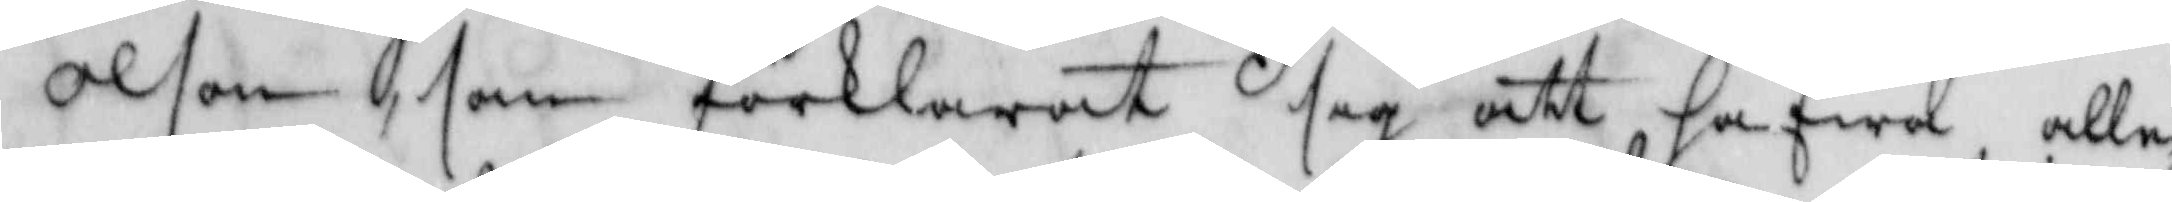Olson som förklarat sig att hafwa alle¬
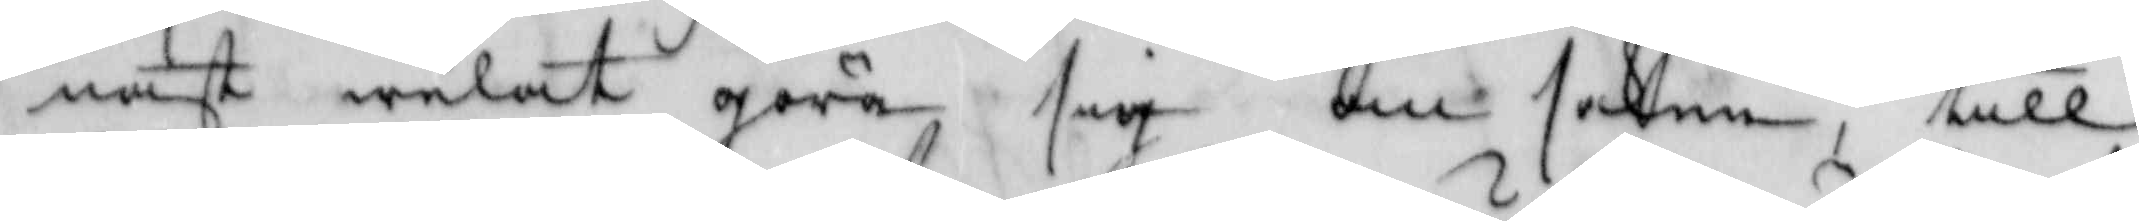nast welat göra sig om saken till
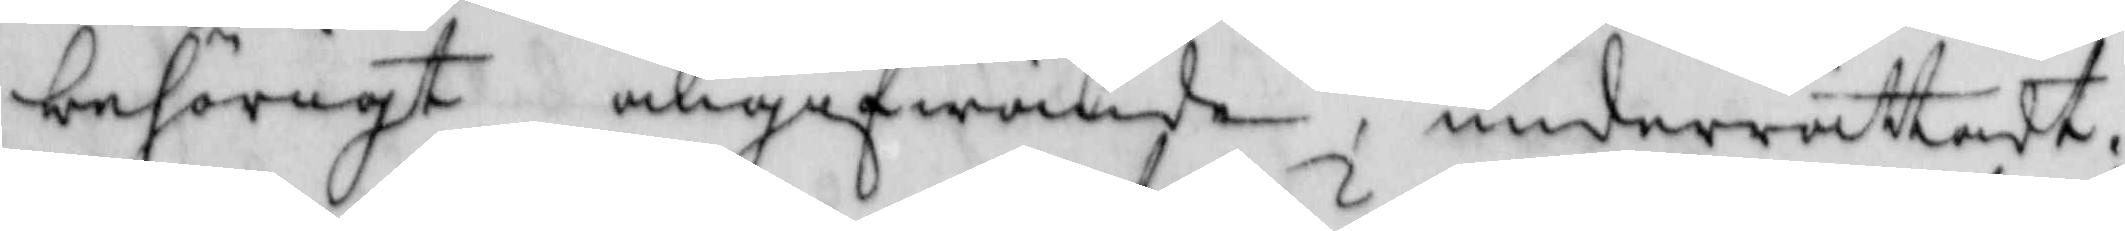behörigt angifwande, underrättad;
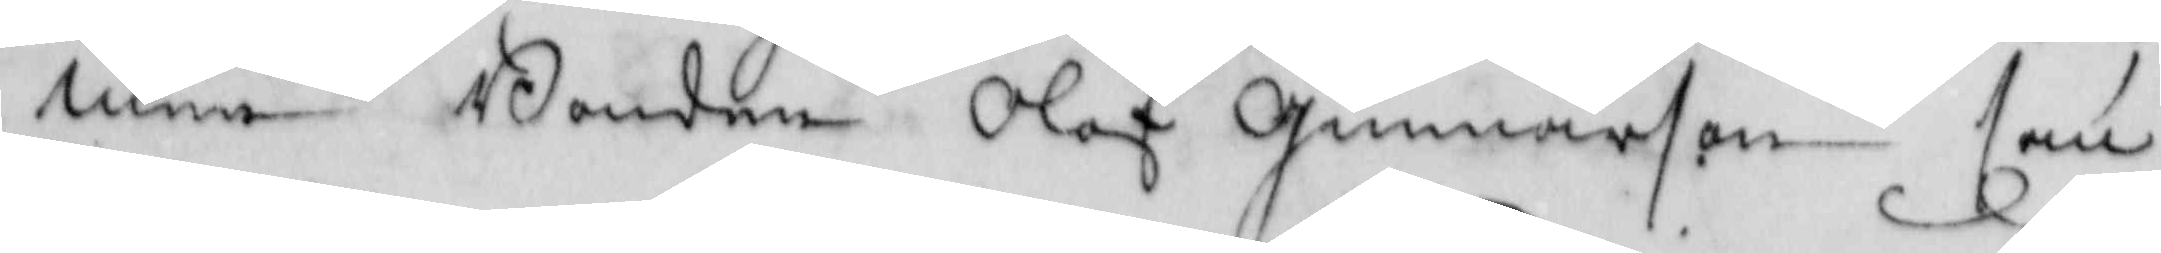men Bonden Olof Gunnarson som
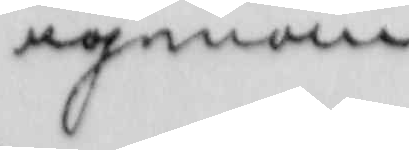igenom
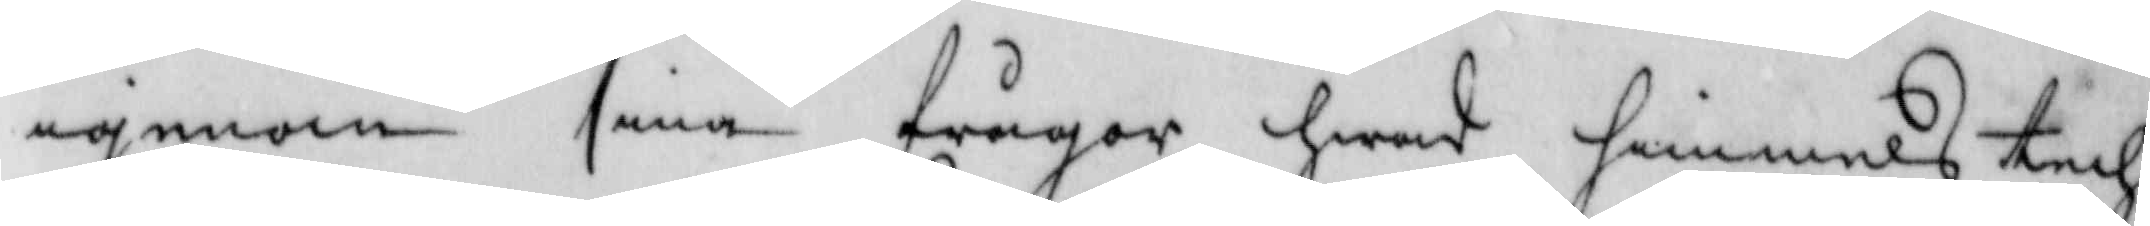igenom sina frågor hwad himmels tech¬
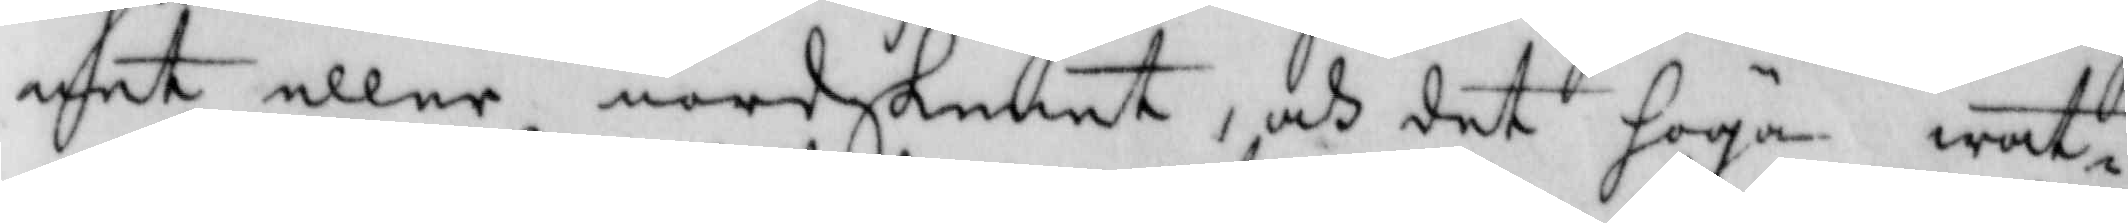net eller nordskenet, och det höga wat¬
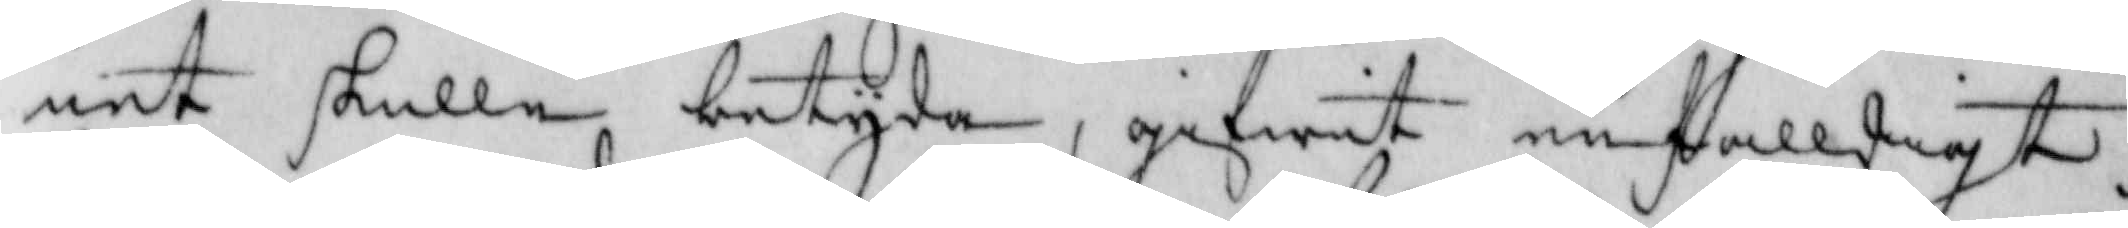net skulle betyda, gifwit enfalldigt
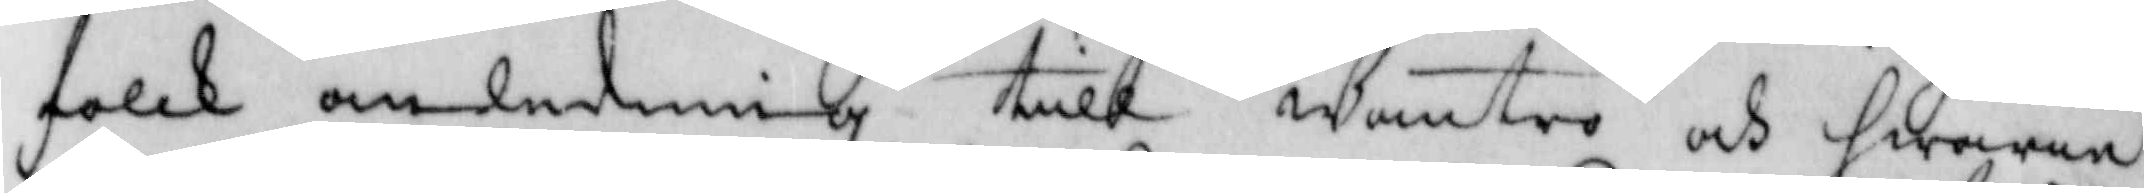folck anledning till Wantro och hwarie¬
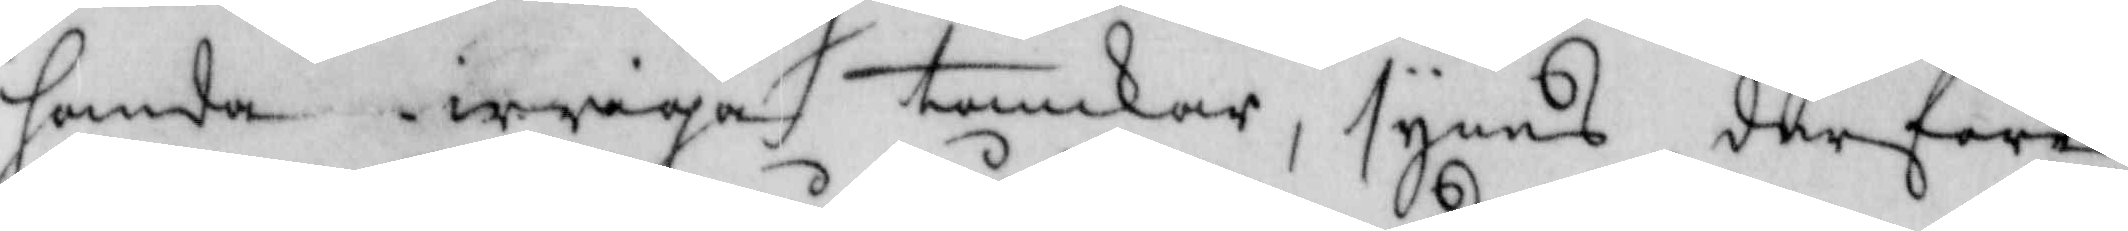handa irriga tanckar, synes derföre
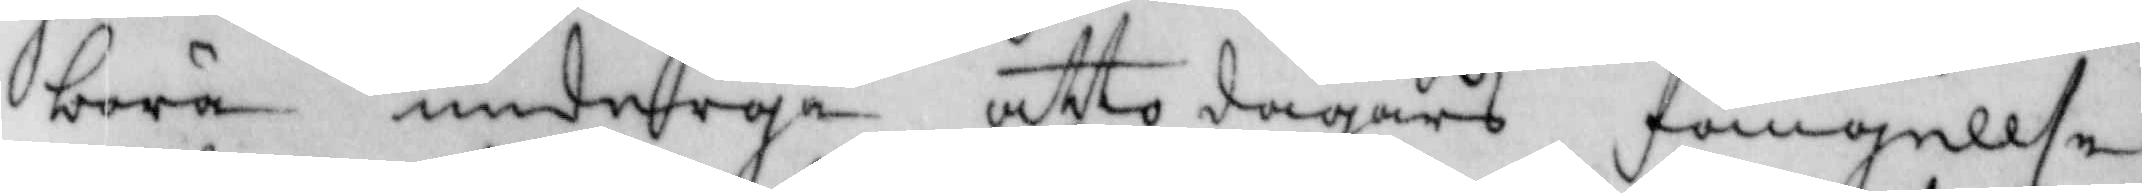böra undergå åtto dagars fängelse
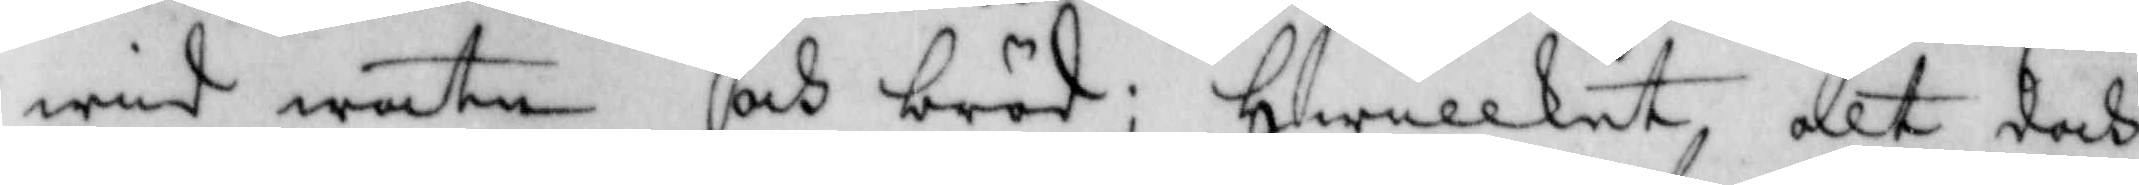wid watn och bröd; hwilket alt doch
